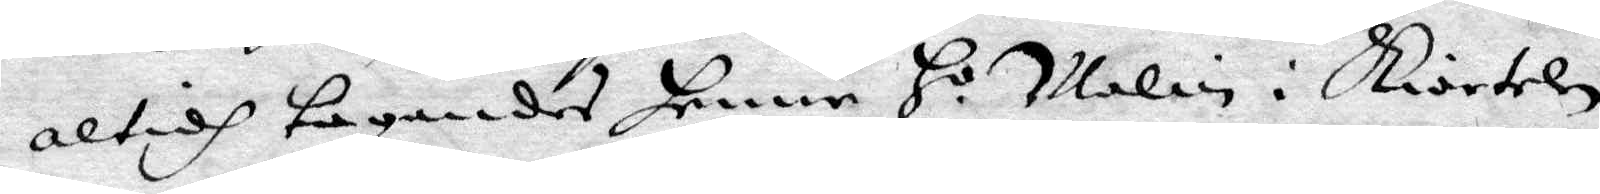altidh tagandes henne H.o Malin i Kiortelen
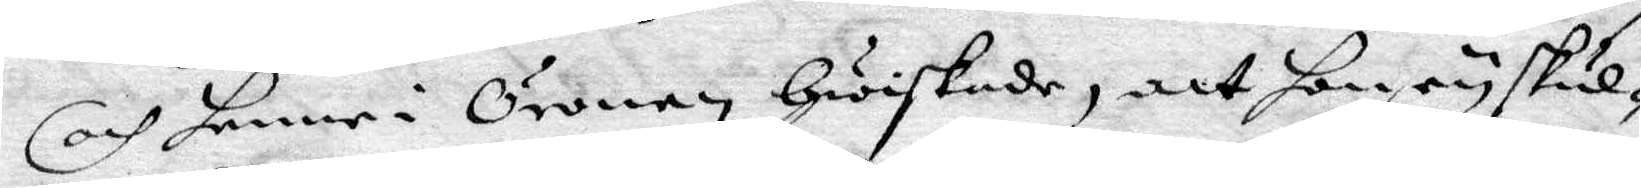och henne i Öronen Hwiskade, att hon ey skul¬
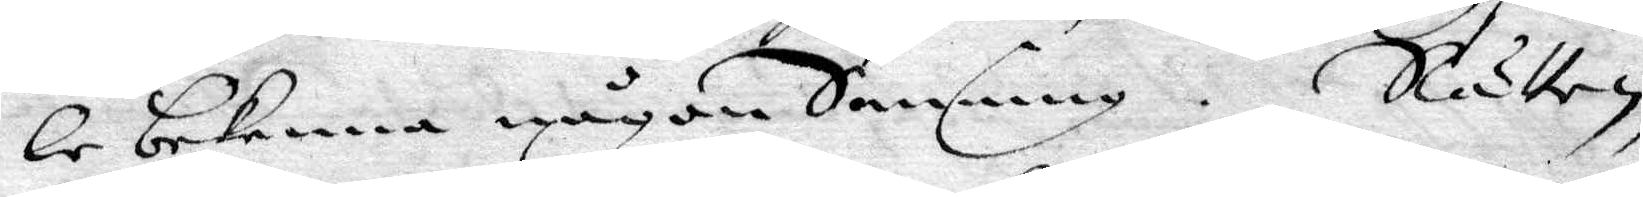le bekenna någon Sanning. Rätten,
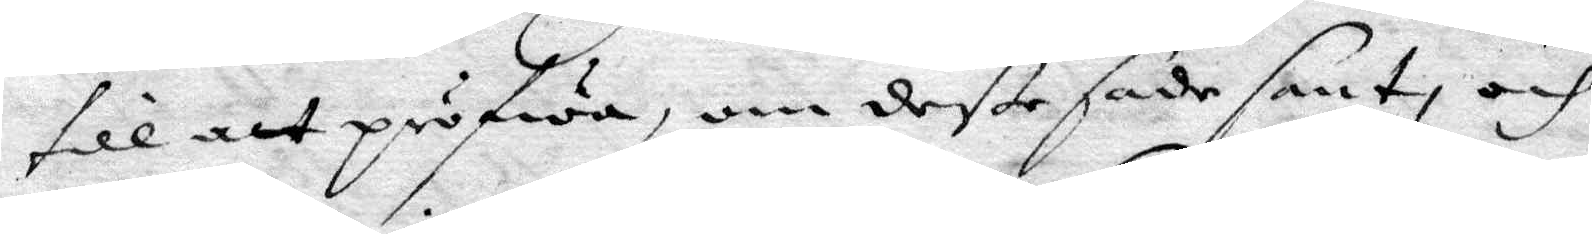till att pröfwa, om deße sade sant, och
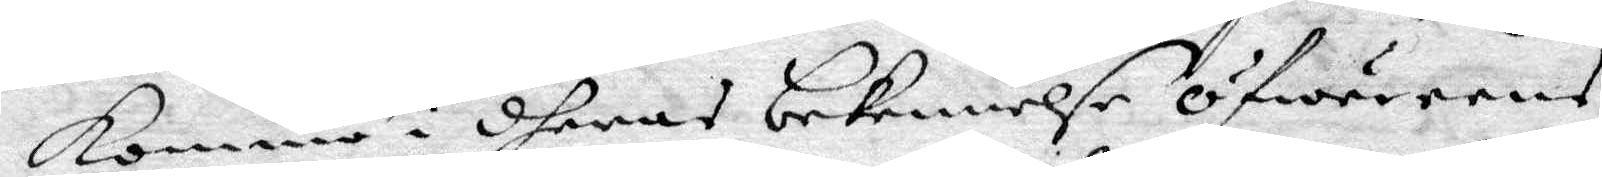komma i dheras bekennelse öfwereens
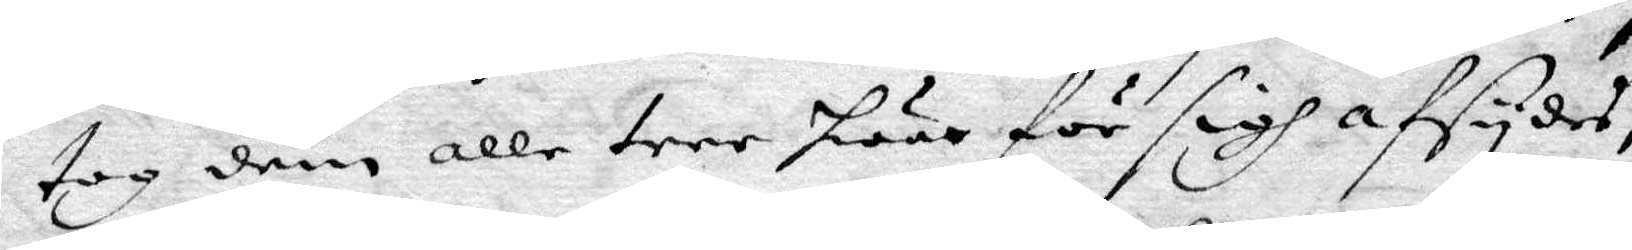tog dem alle tree hwar för sigh afsydes,
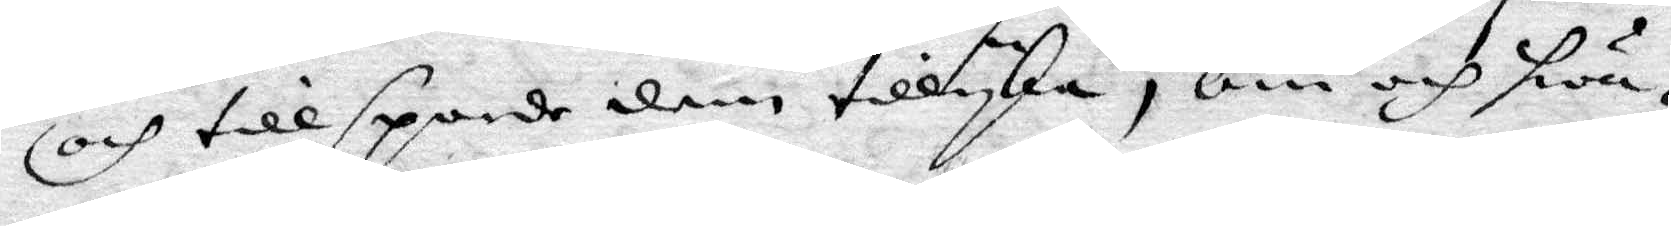och tillsporde dem tillyka, om och hwa¬
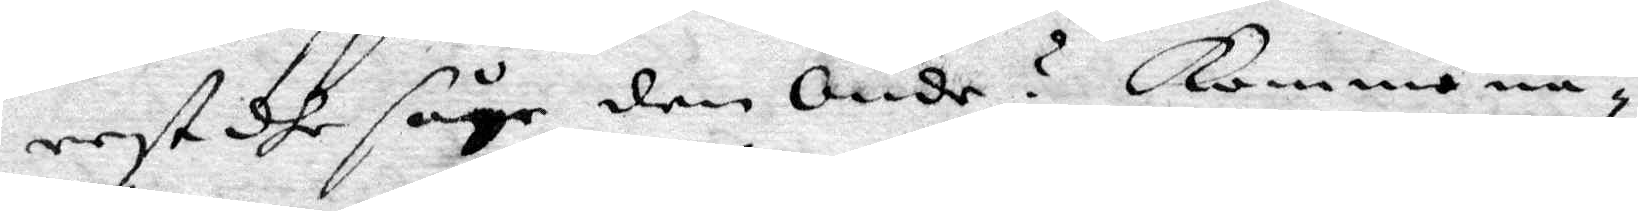rest dhe såge den Onde? Komme nä¬
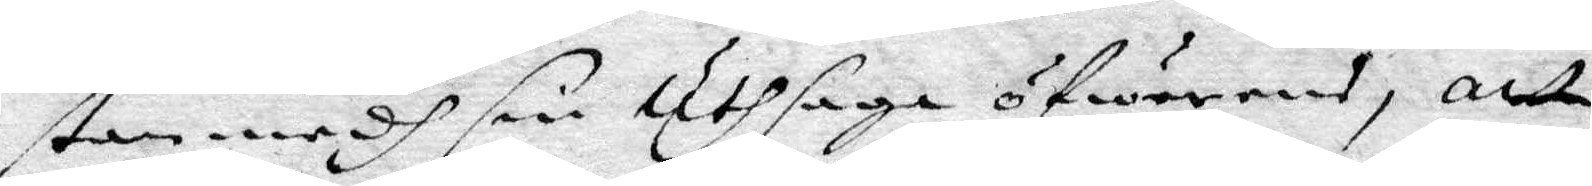stan medh sin uthsaga öfwerens, att
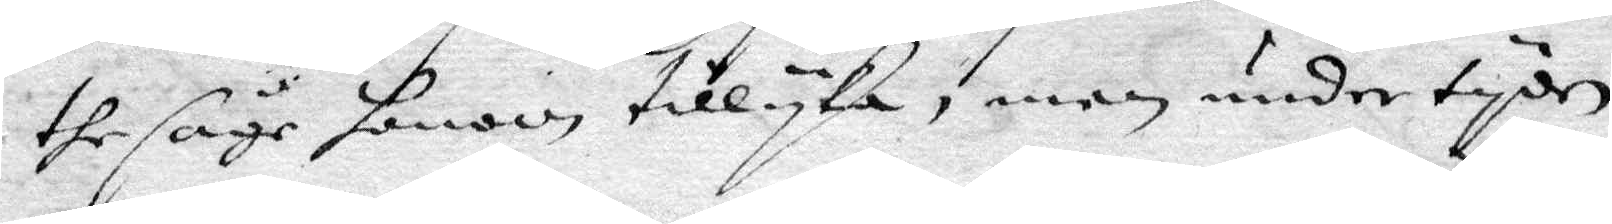the såge honom tillyka, men undertyden
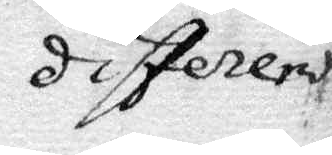differerde
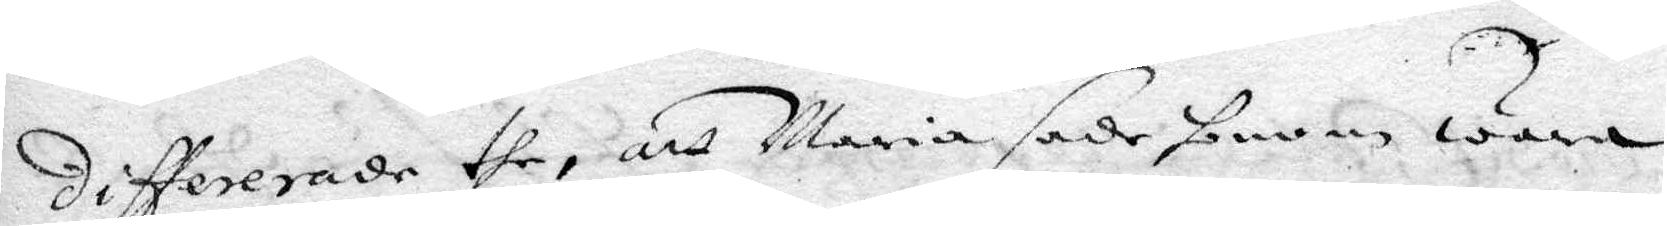differerade the, att Maria sade honom wara
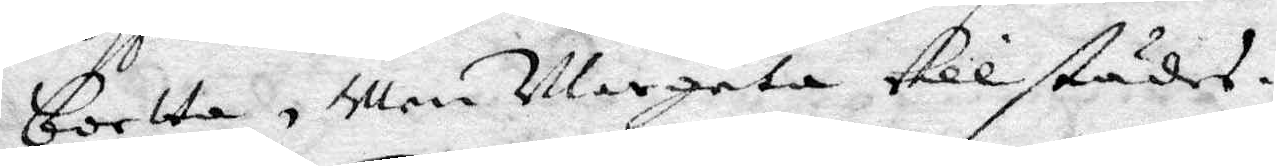bortta, Men Margeta tillstädes.
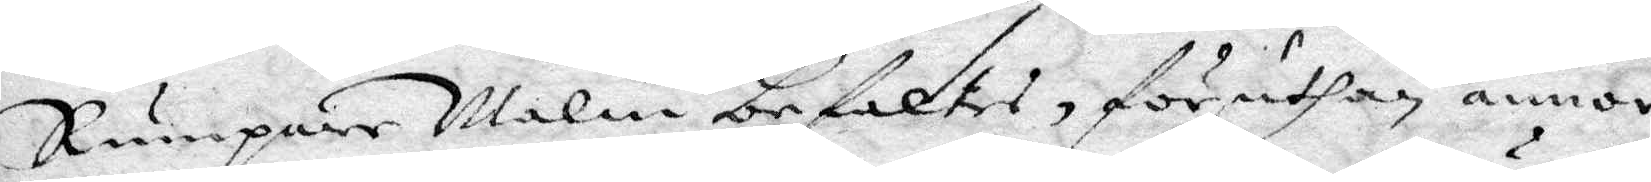Rumpare Malin befaltes, föruthan annor
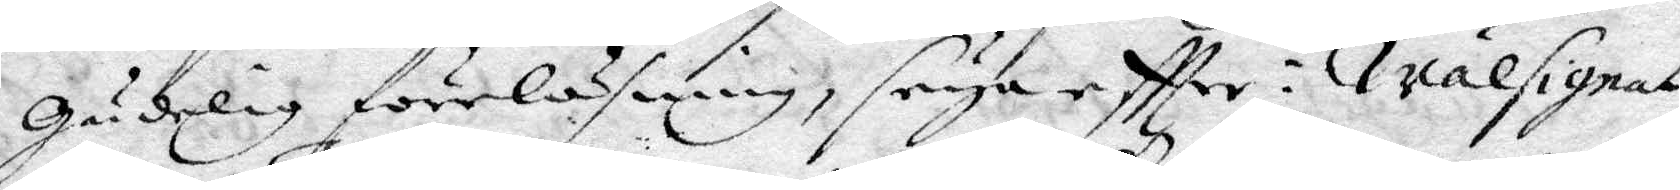Gudelig föreläsning, seiga eftter: Wälsignat
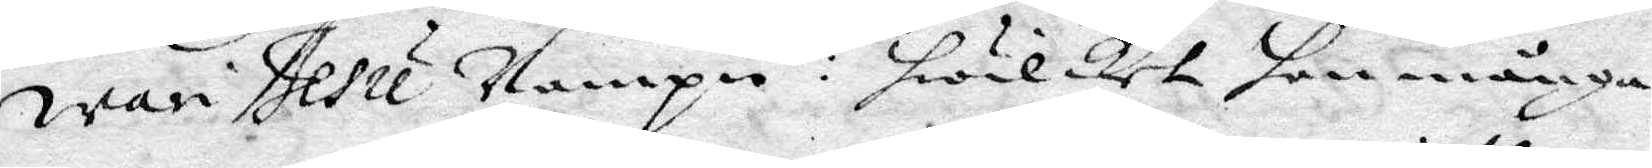wari Jesu Nampn: hwilket hon många
